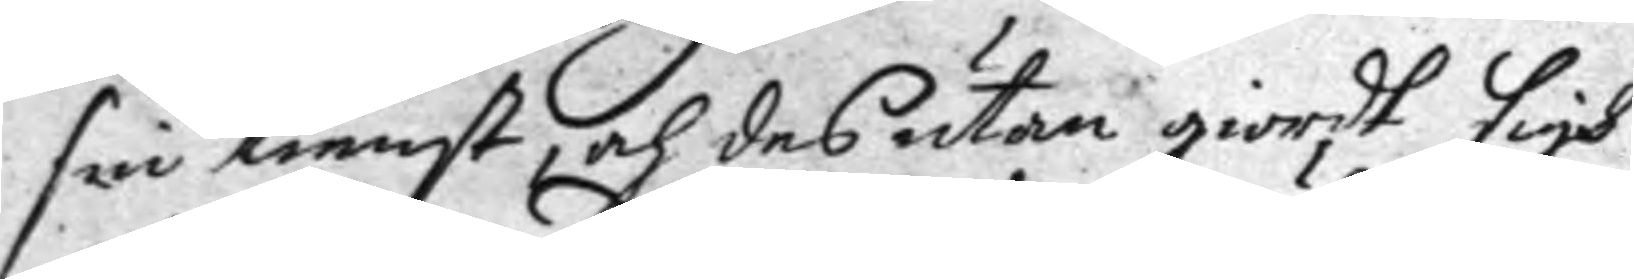sin tienst, och des utan giordt sigh
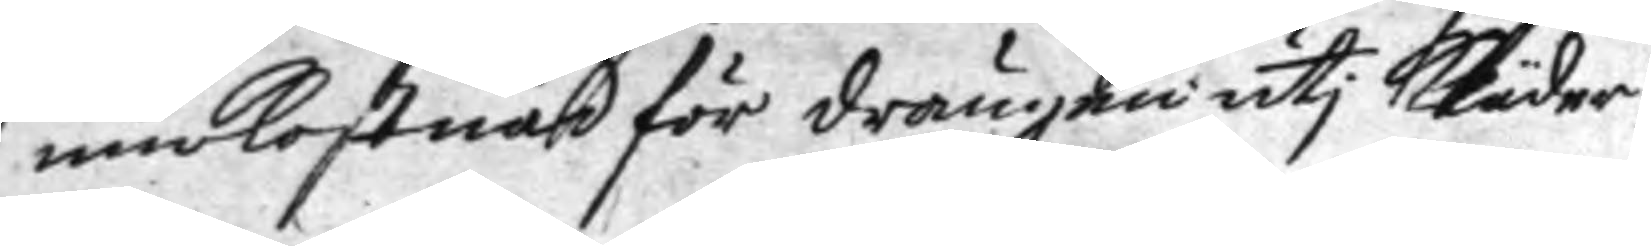märkostnad för drängen uti kläder.
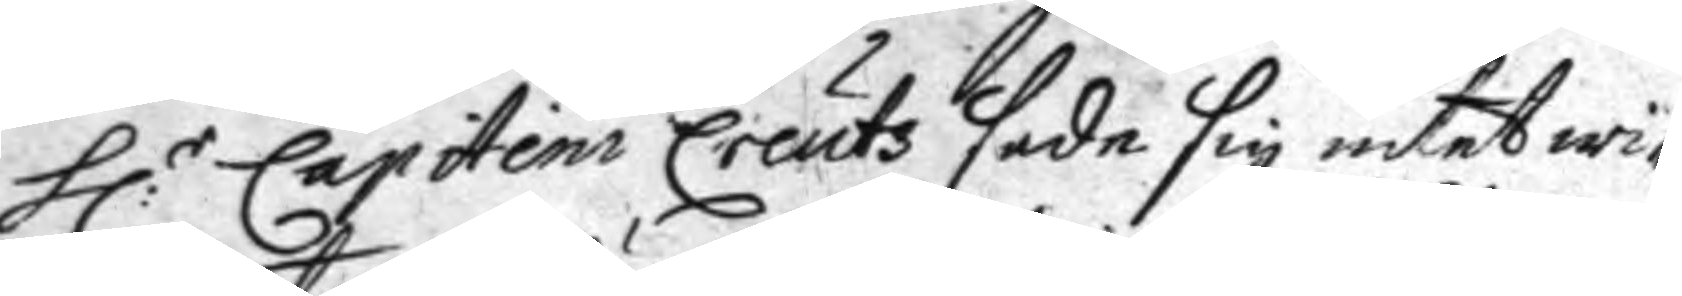h:r Capitein Creuts sade sig intet wi¬
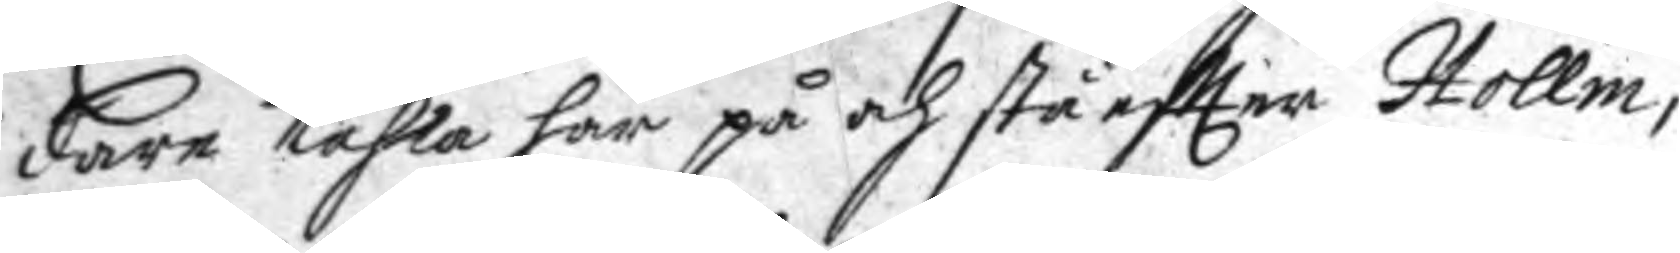dare tahla här på och stå eftter Hollm,
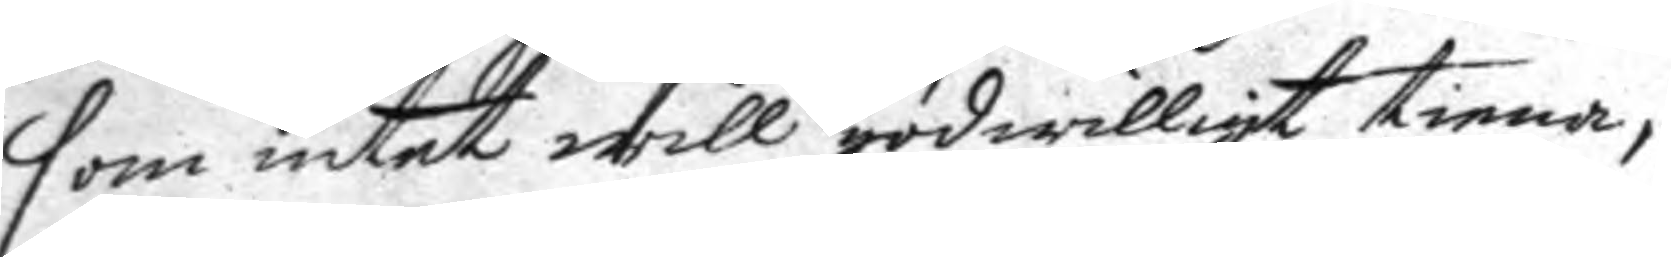som intet will godwilligt tiena,
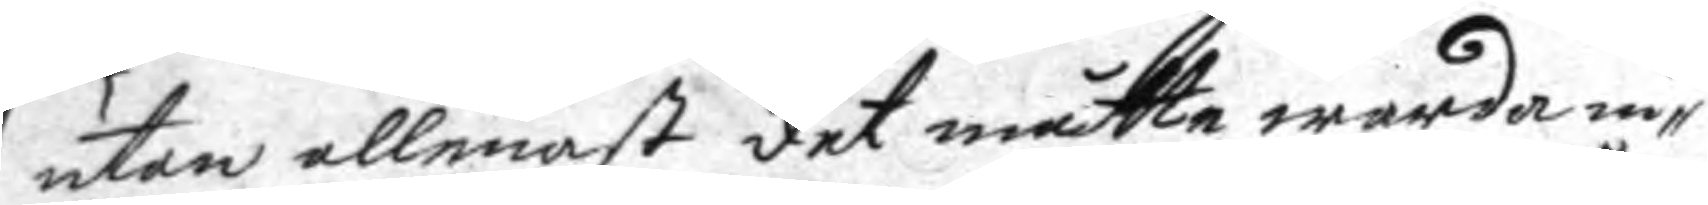utan allenast det måtte warda in¬
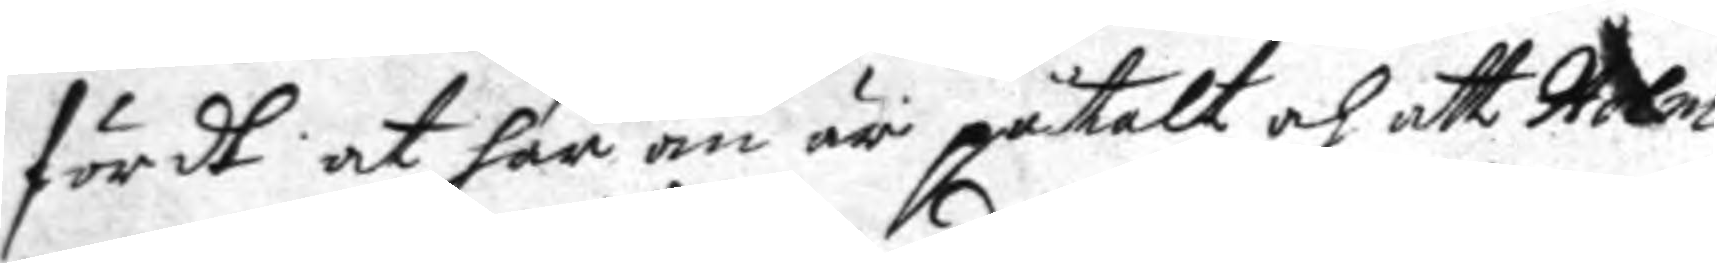fördt at här om är påtalt och att Holm
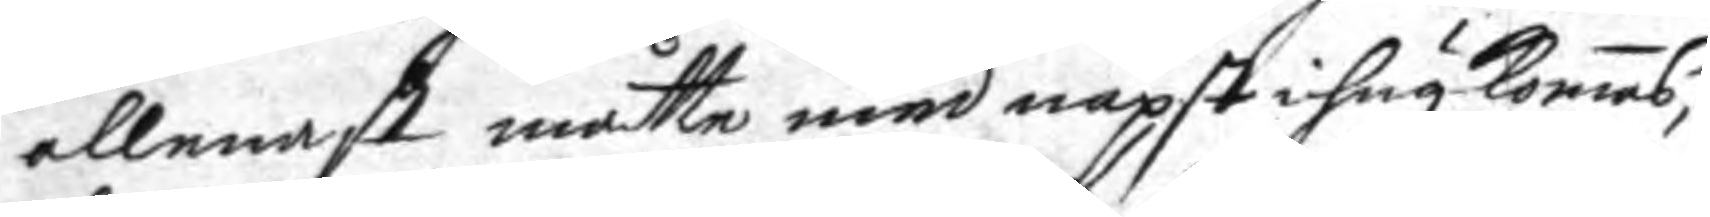allenast måtte med näpst ihågkomas,
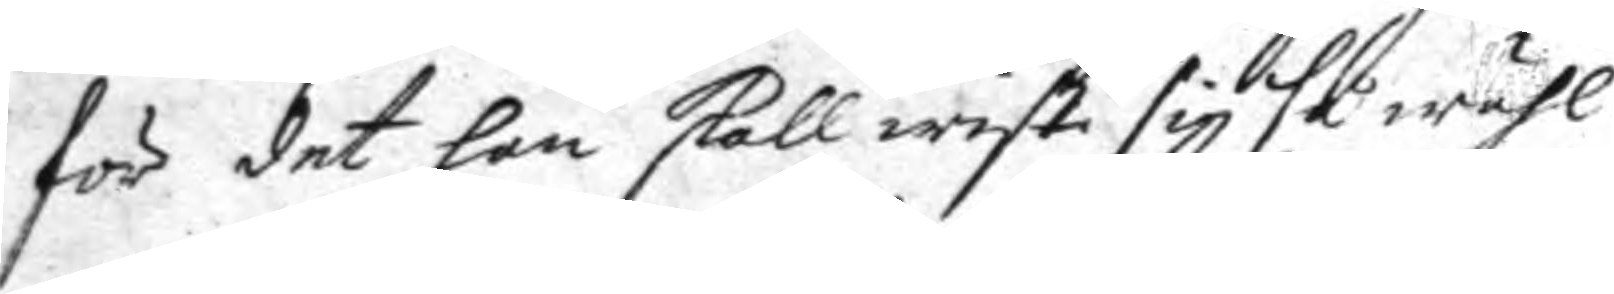för det han skall wist sig så wähl
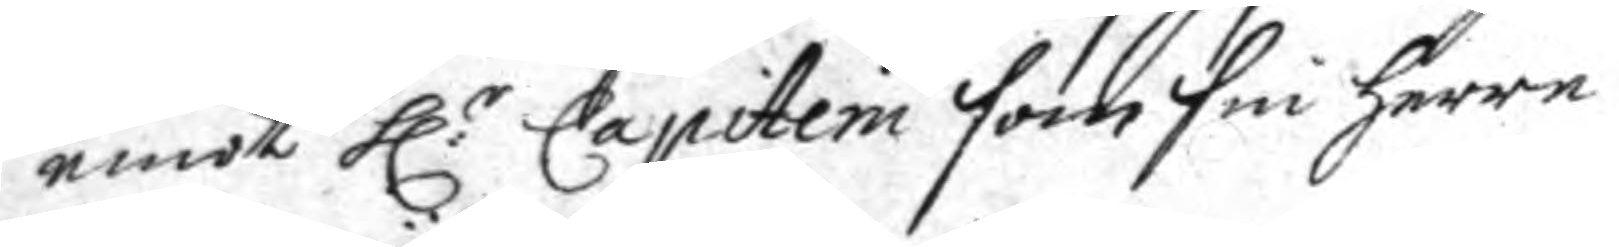emot h:r Capitein som sin herre
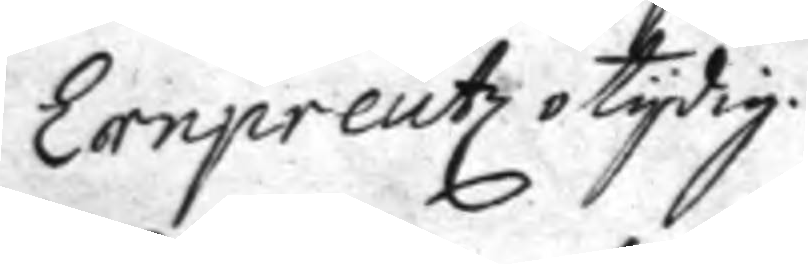ernpreutz otydig.
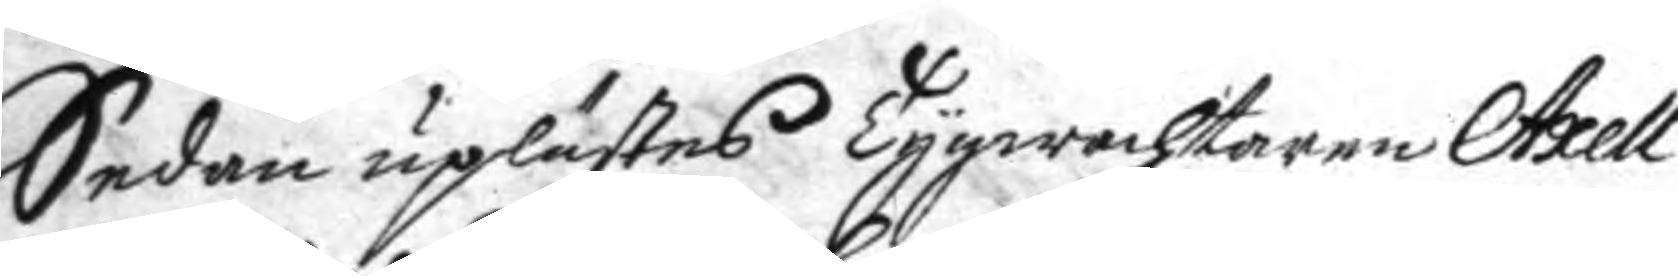Sedan uplästes Tygwachtaren Axell
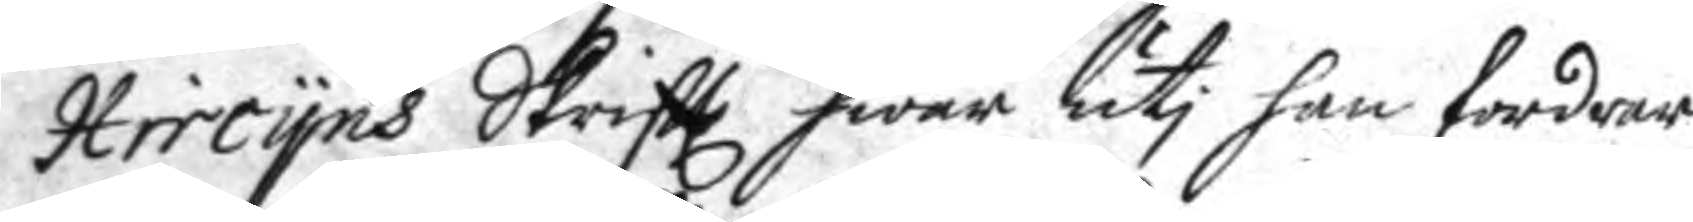Hircyns Skriftt hwar uti han fordrar
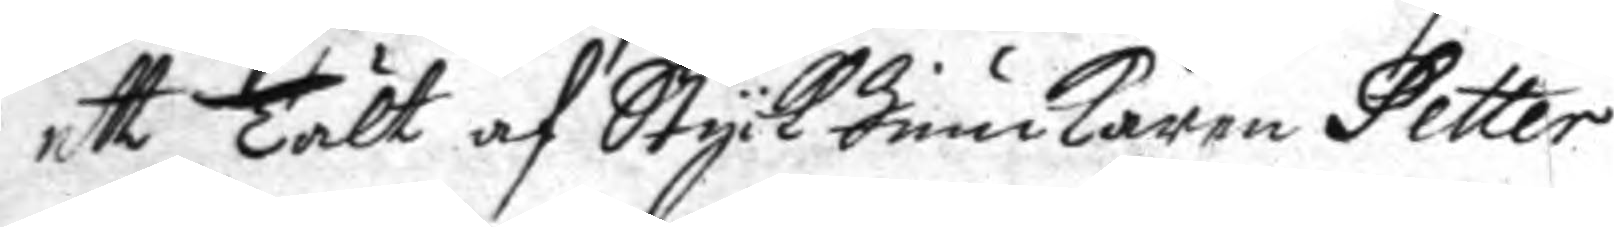ett Tält af Styck Junckaren Petter
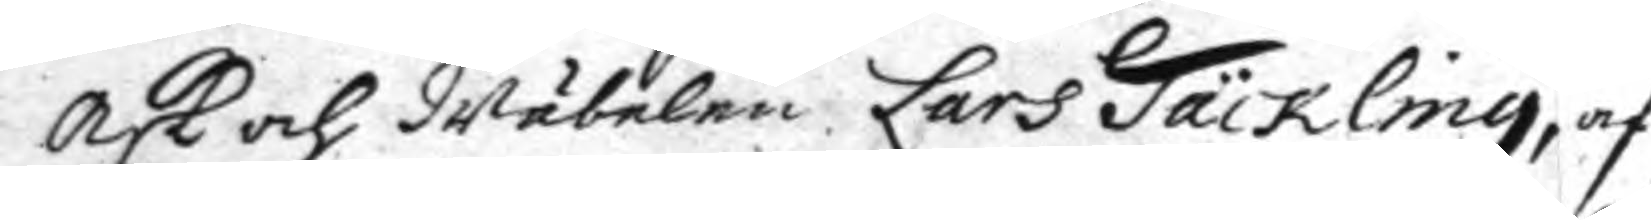Ask och wänelen Lars Täckling, af
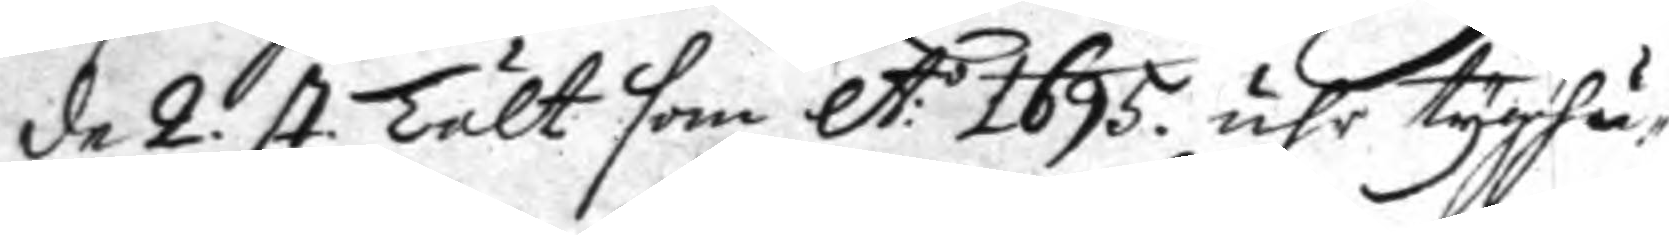de 2. st. Tält som A:o 1695 uhr tyghu¬ 
